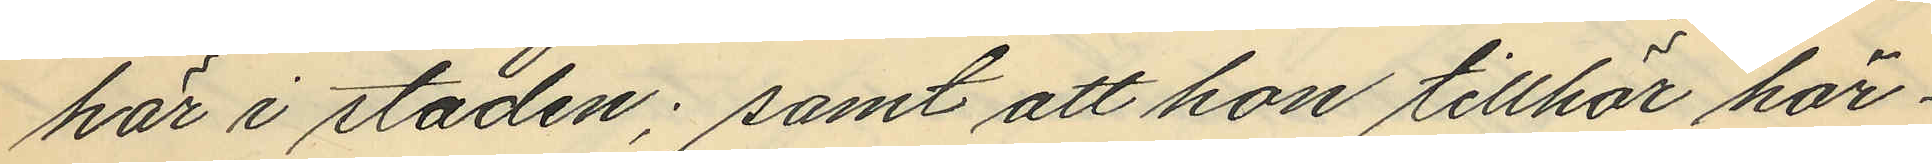här i staden; samt att hon tillhör här¬
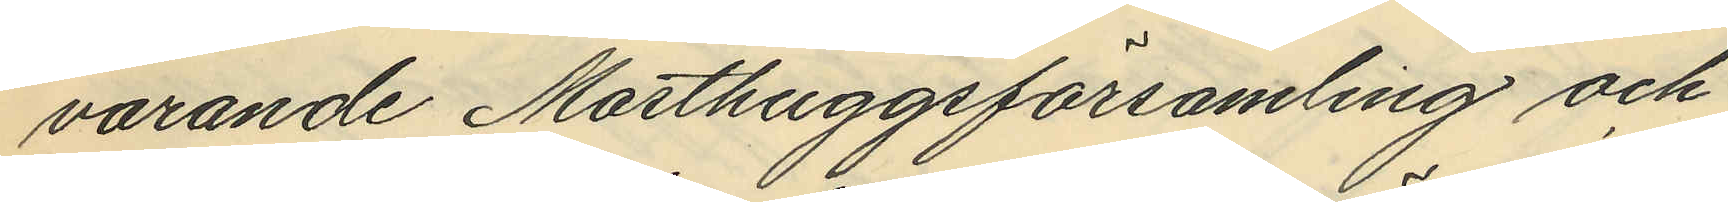varande Masthuggsförsamling och
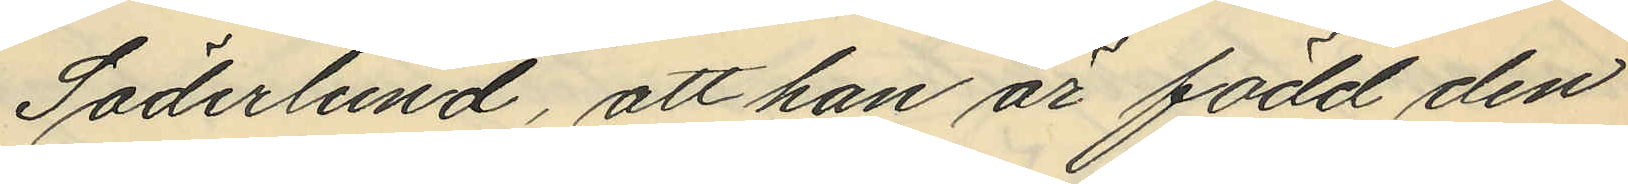Söderlund, att han är född den
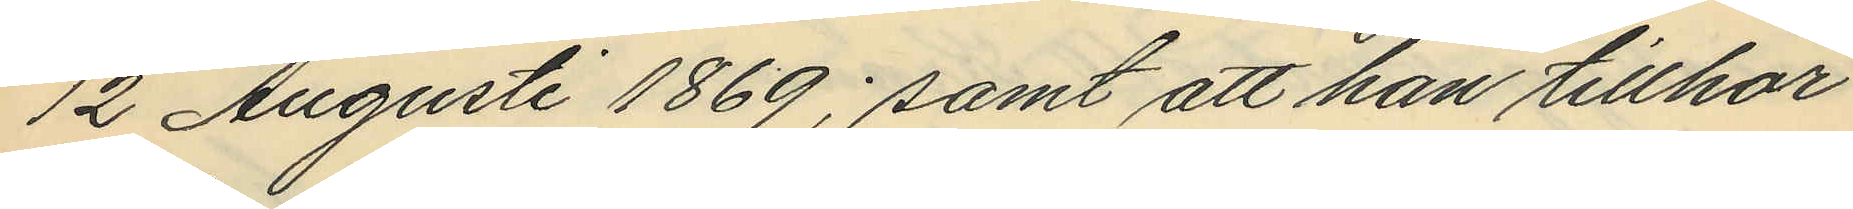12 Augusti 1869; samt att han tillhör
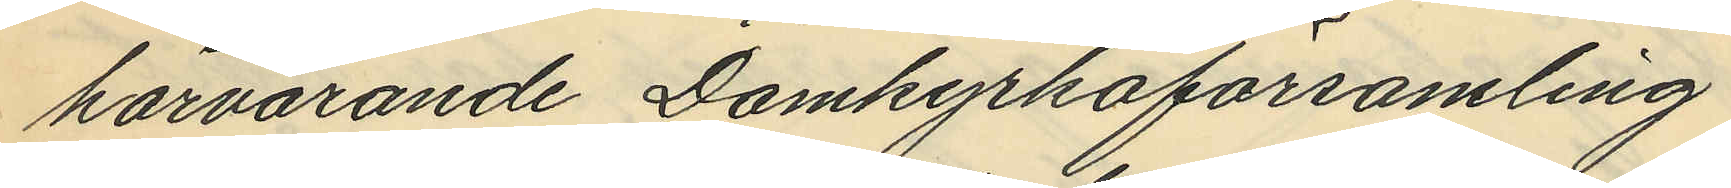härvarande Domkyrkoförsamling.
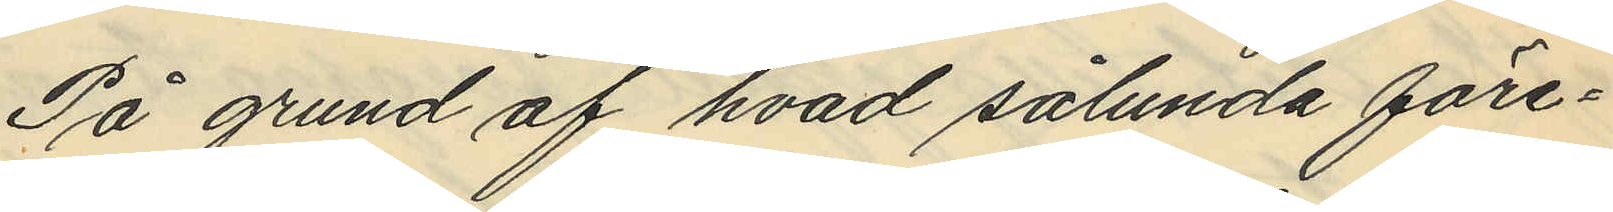På grund af hvad sålunda före¬
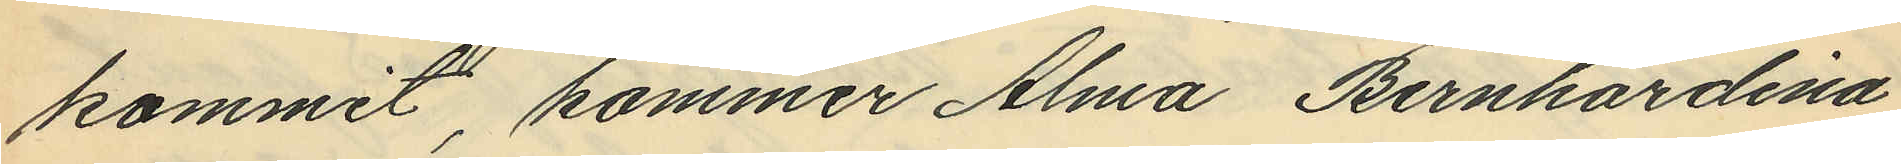kommit, kommer Alma Bernhardina
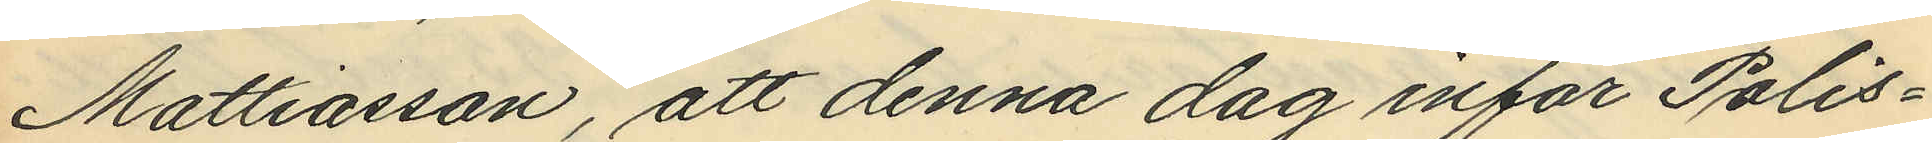Mattiasson, att denna dag inför Polis¬
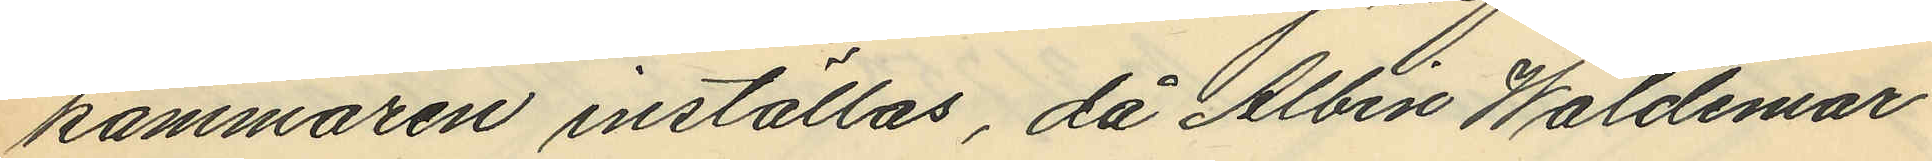kammaren inställas, då Albin Waldemar
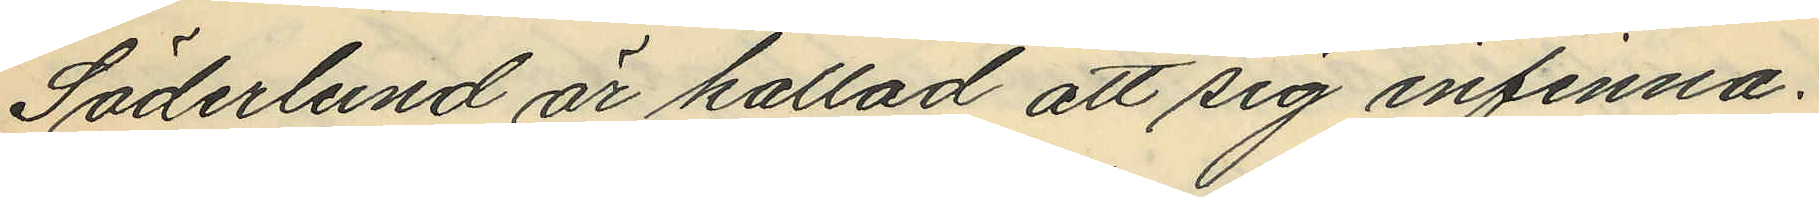Söderlund är kallad att sig infinna.
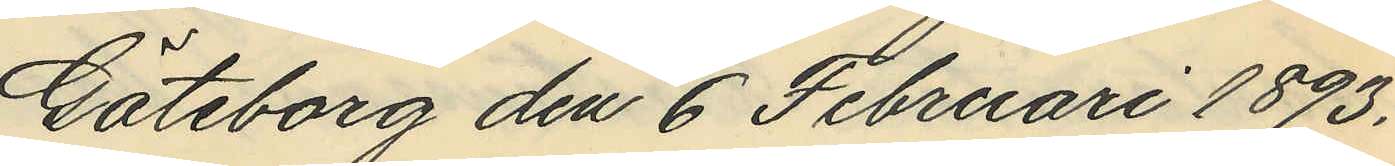Göteborg den 6 Februari 1893.
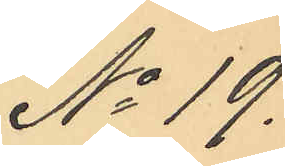No 19.
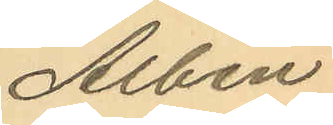Albin
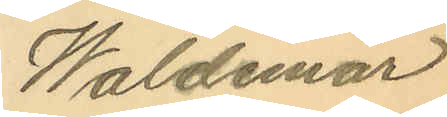Waldemar
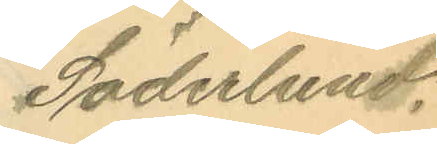Söderlund.
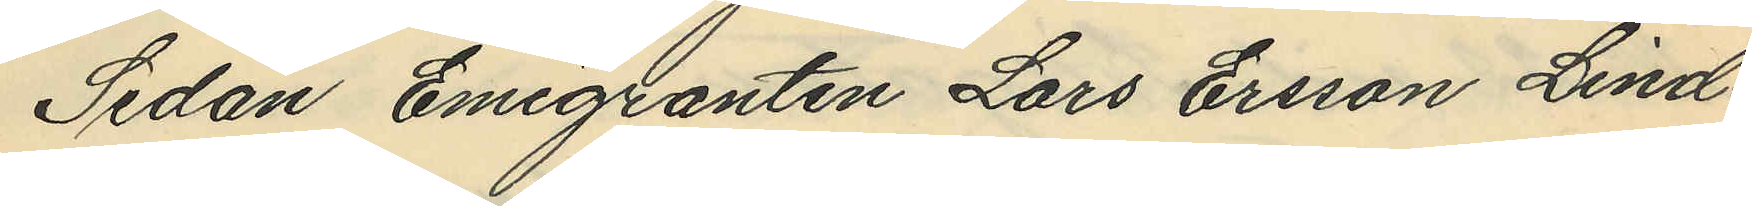Sedan Emigranten Lars Ersson Lind¬
